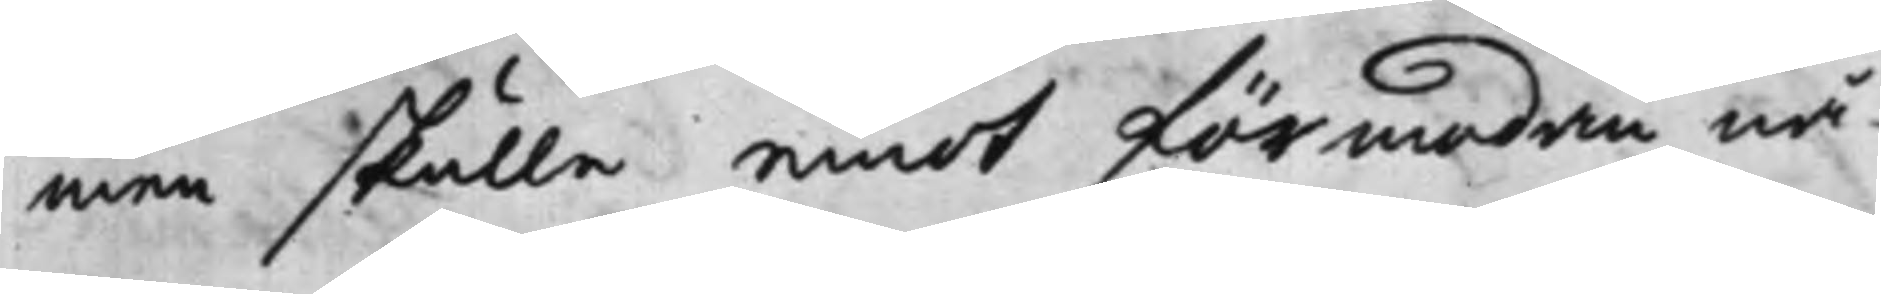men skulle emot förmodan nå¬
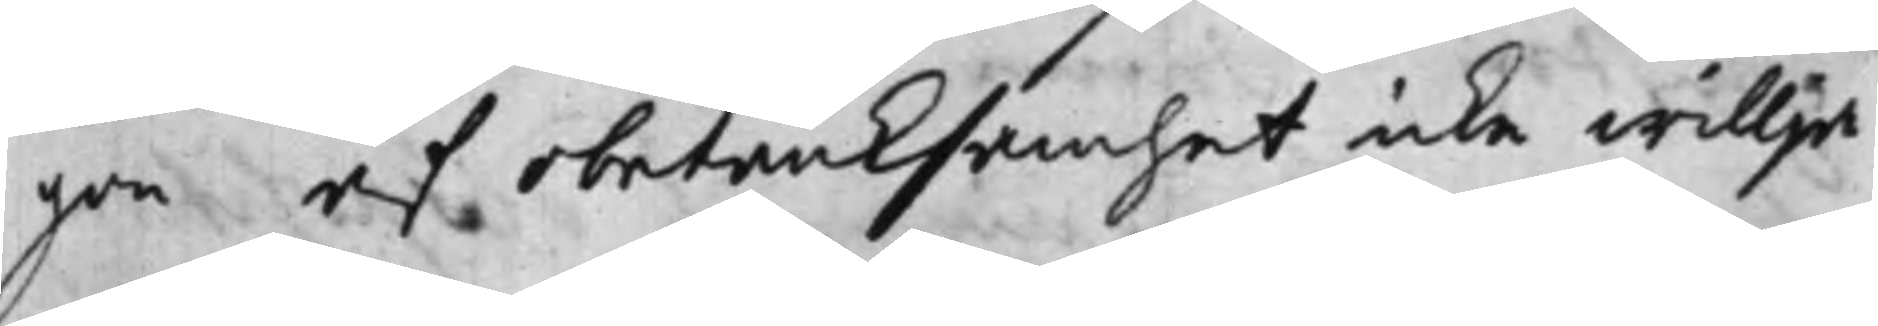gon af obetämksamhet icke willja
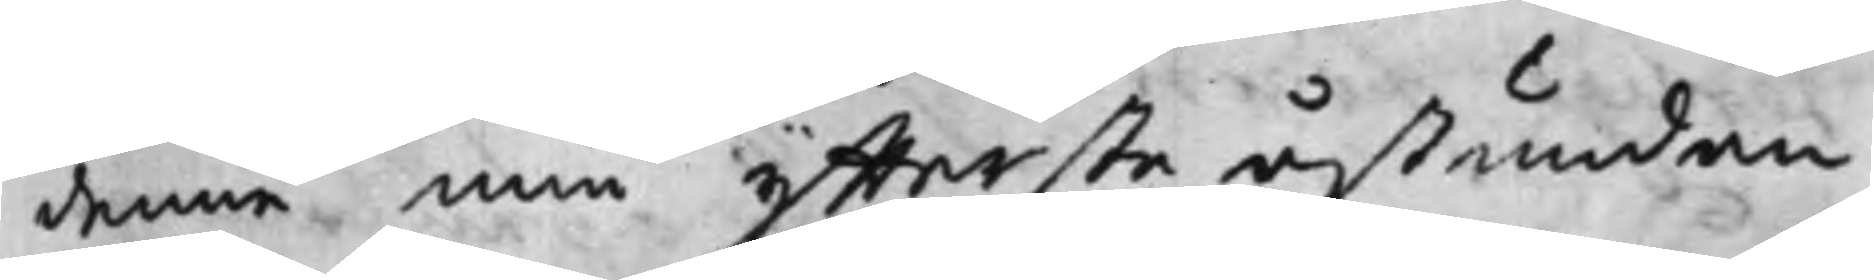denne min yttersta åstundan
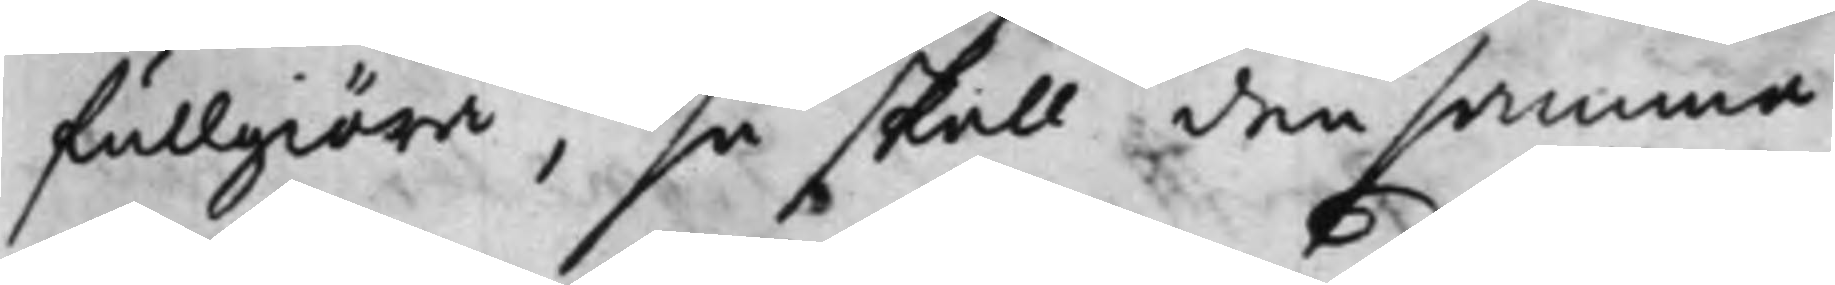fullgiöra, så skall densamma
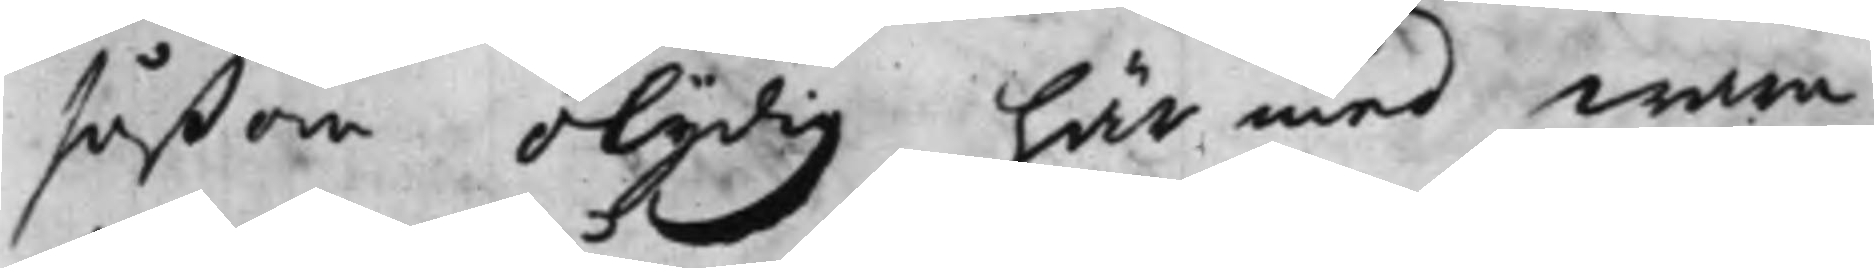såßom olydig härmed wara
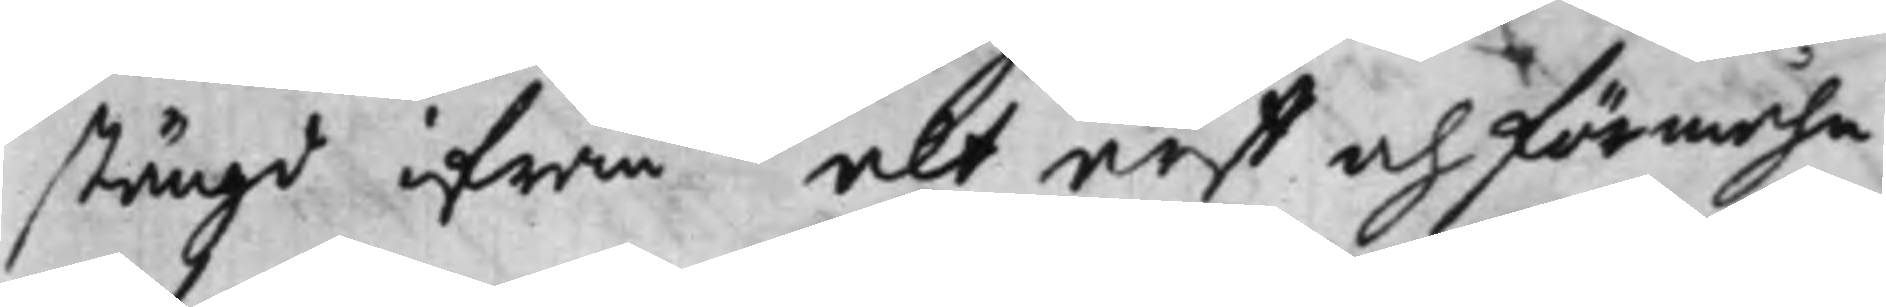stängd ifrån alt arff och förmåhn
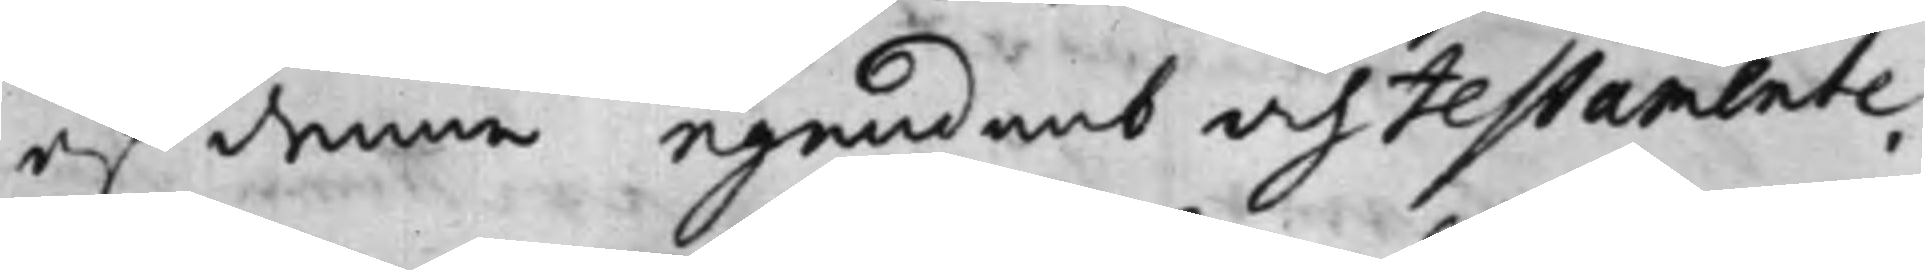af denne egendomb och Testamente,
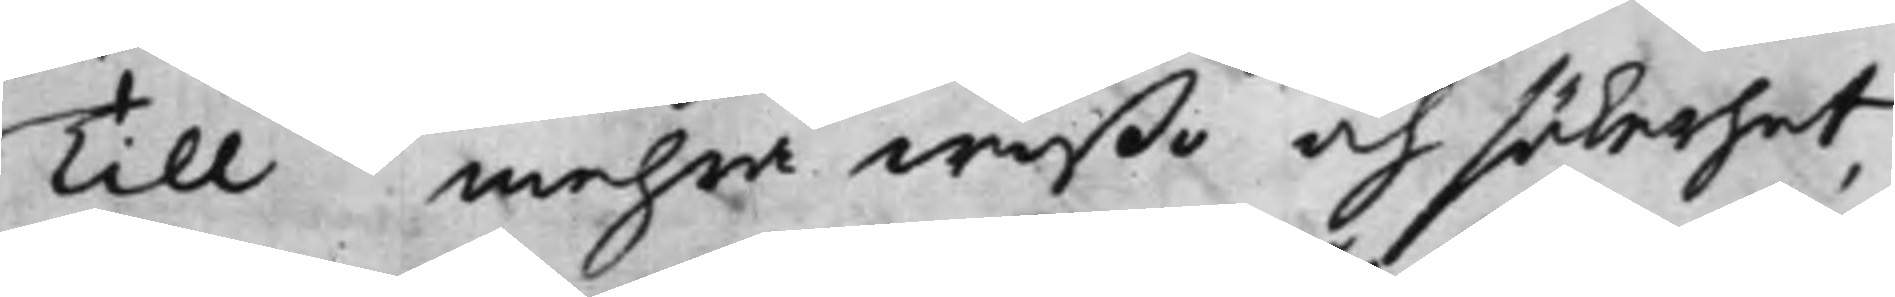Till mehra wißo och säkerhet,
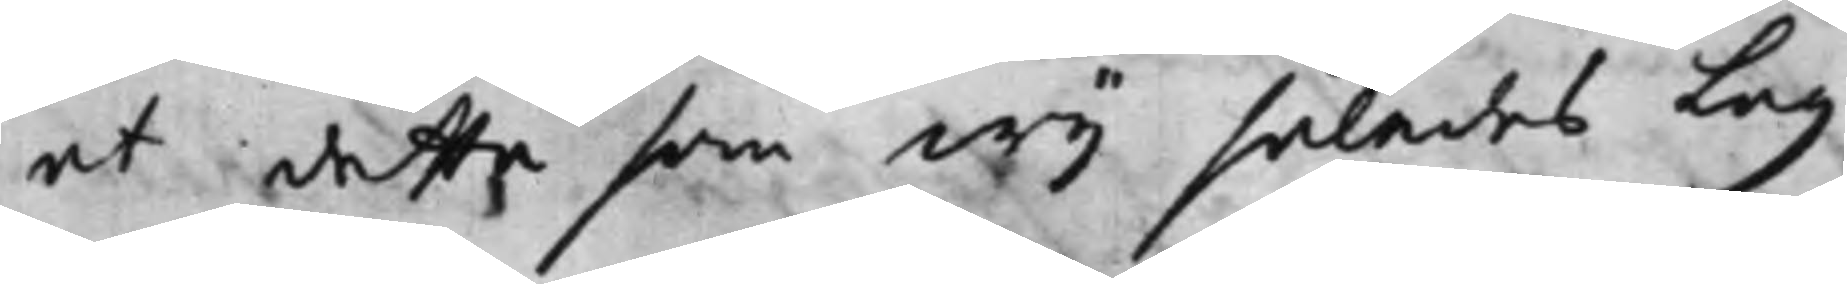at detta som wij således Lag
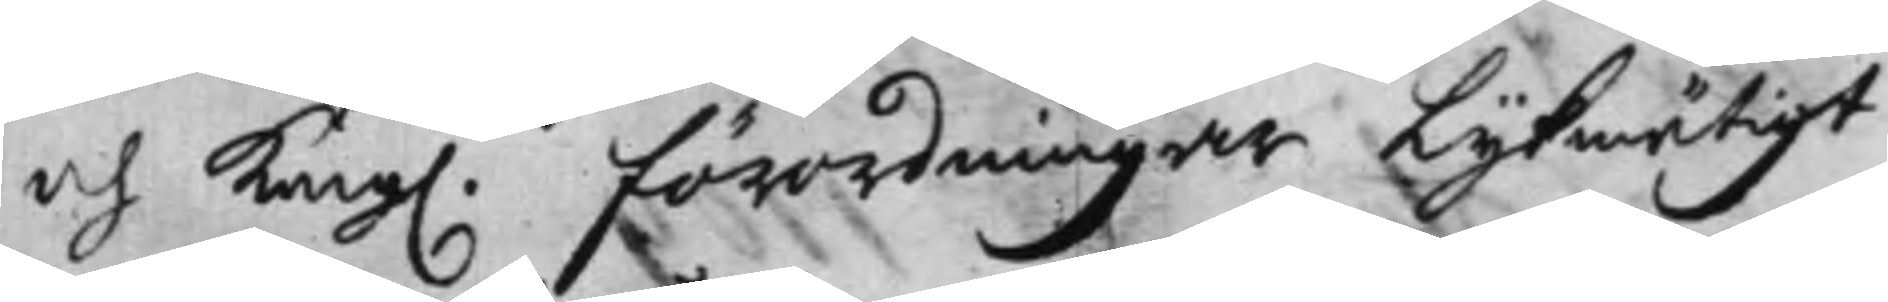och Kong. Förordningar lijkmätigt
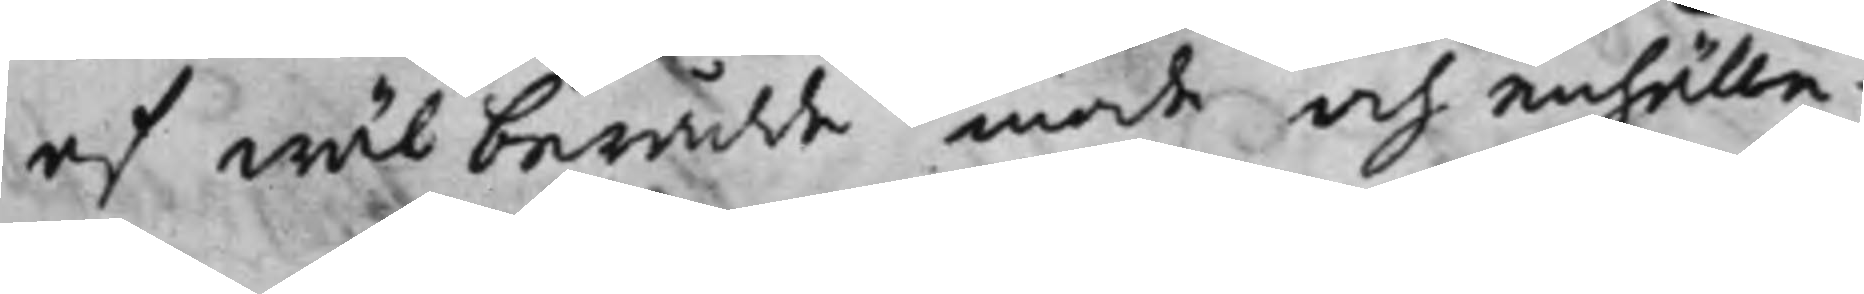af wäl berådde mode och enhälle¬
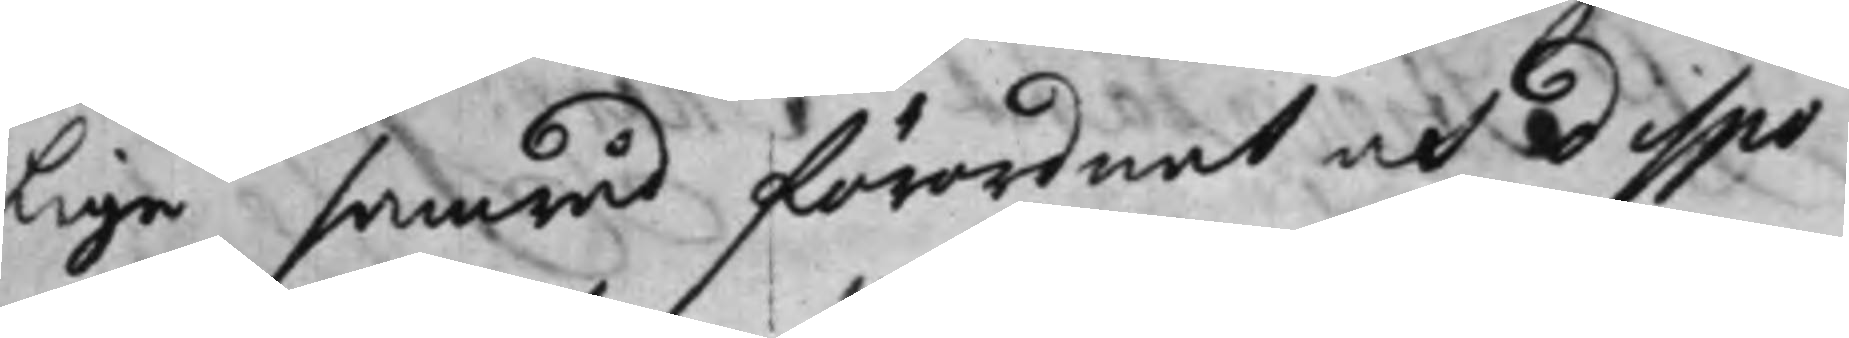lige samråd förordnat och dispo¬
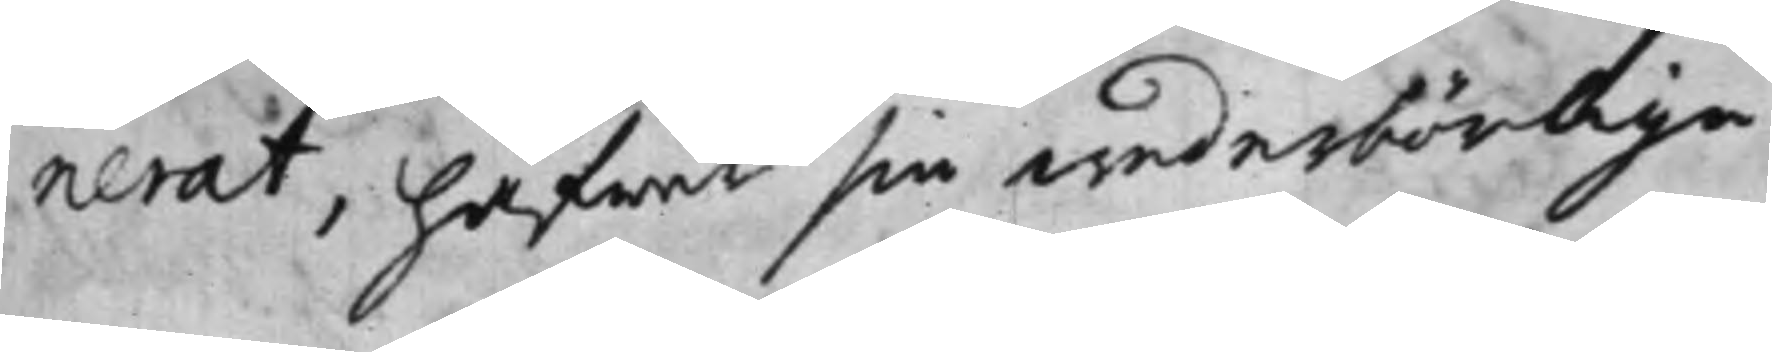nerat, hafwer sin wederbörlige
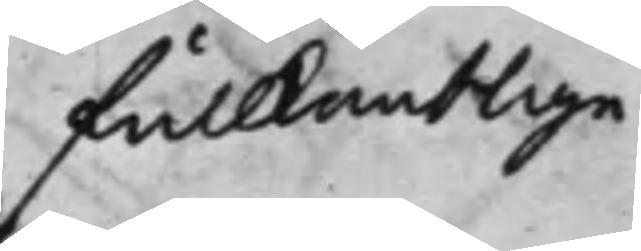fullkomblige
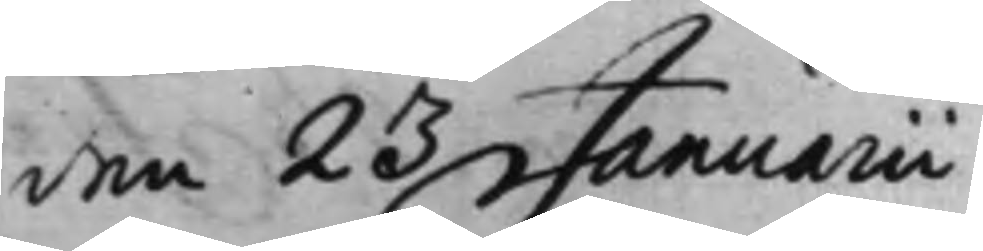den 23 Januarii
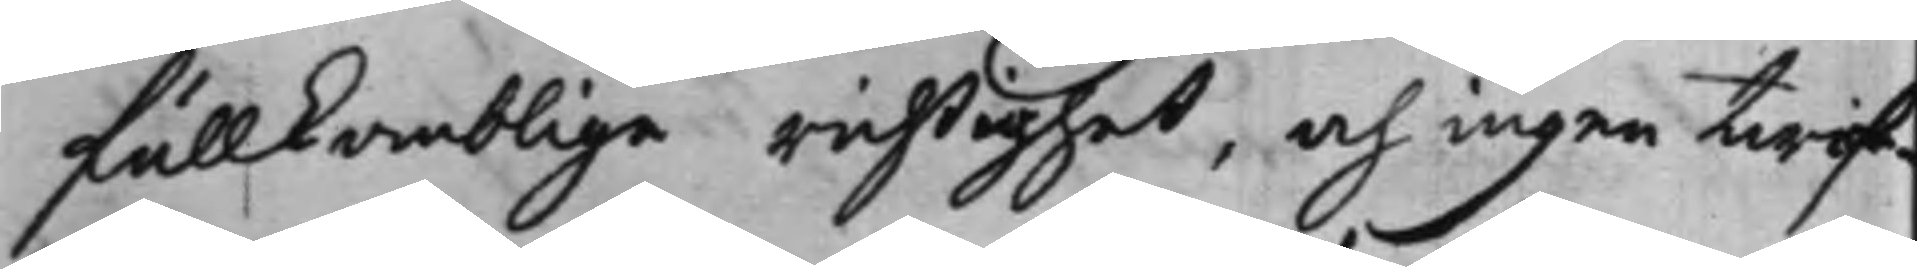fullkomblige richtighet, och ingen twiff¬
